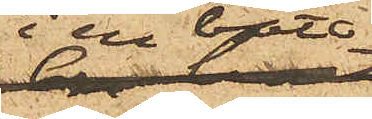i en båt,
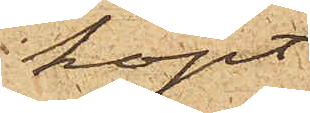köpt
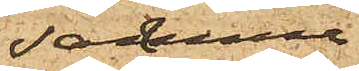samma
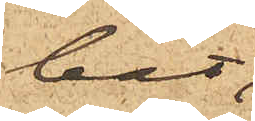båt,
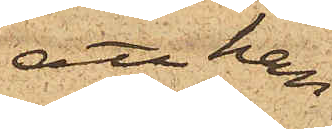att han
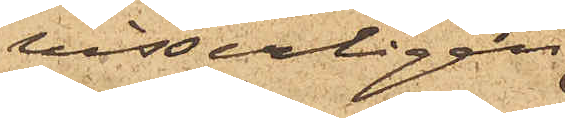visserligen
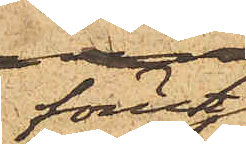förut
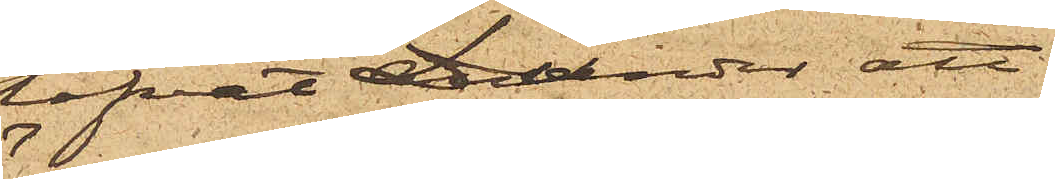lofvat Dunder att
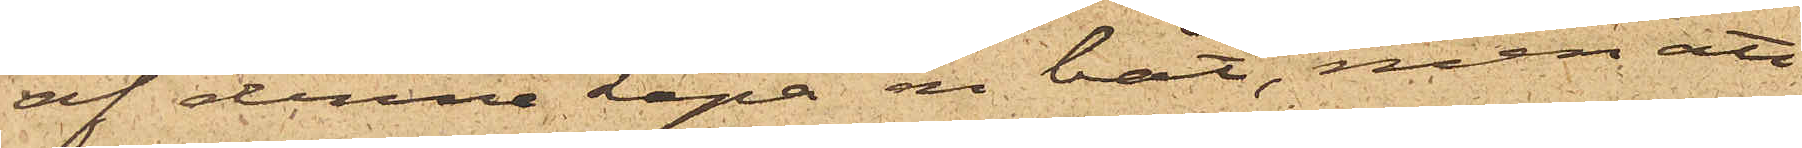af denne köpa en båt, men att
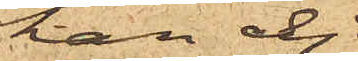han ej
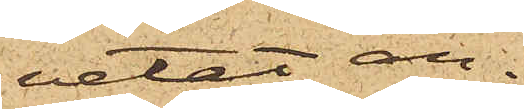vetat an¬
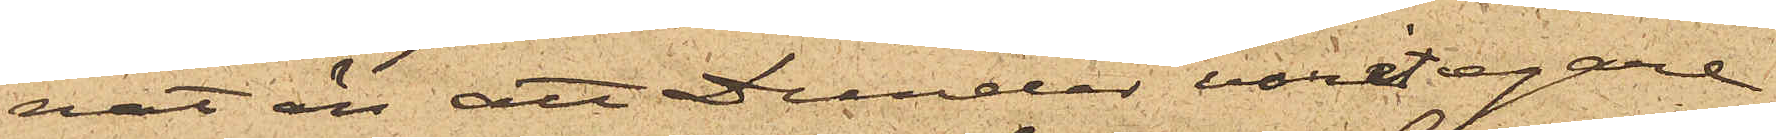nat än att Dunder varit egare
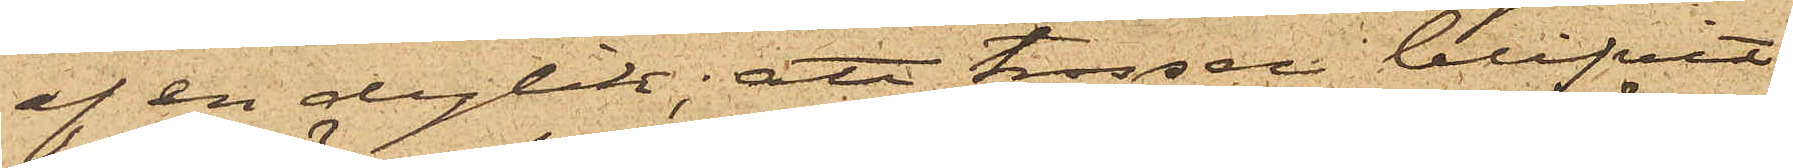af en dylik; att trossen blifvit,
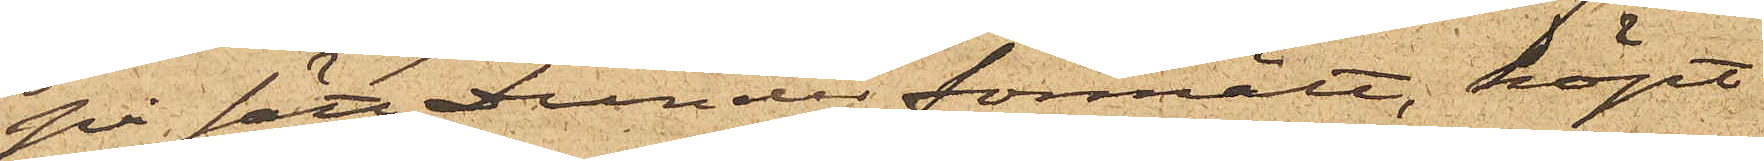på sätt Dunder förmält, köpt
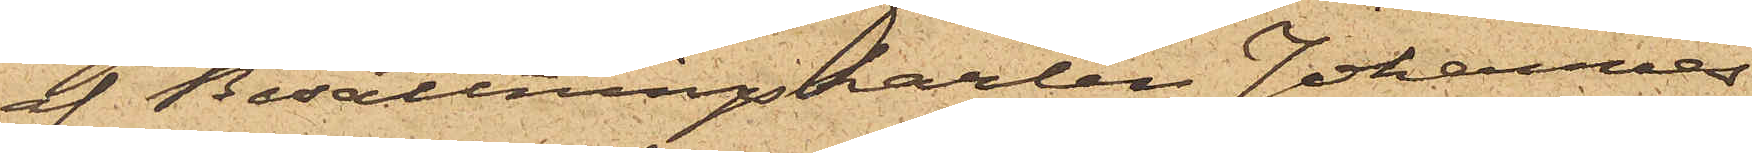af Besättningskarlen Johannes
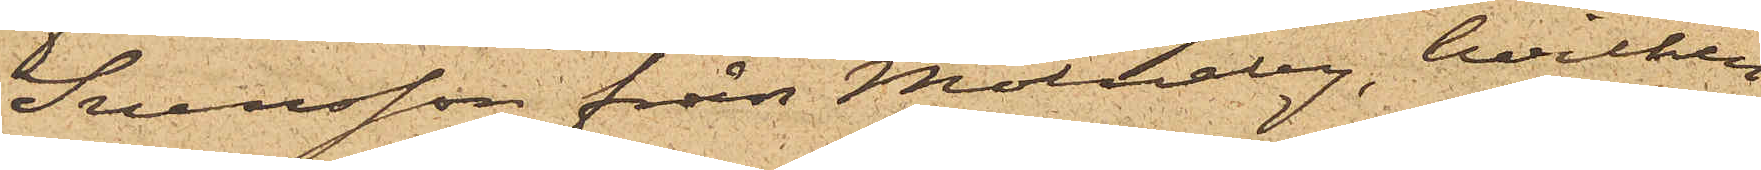Svensson från Mölneby, hvilken
